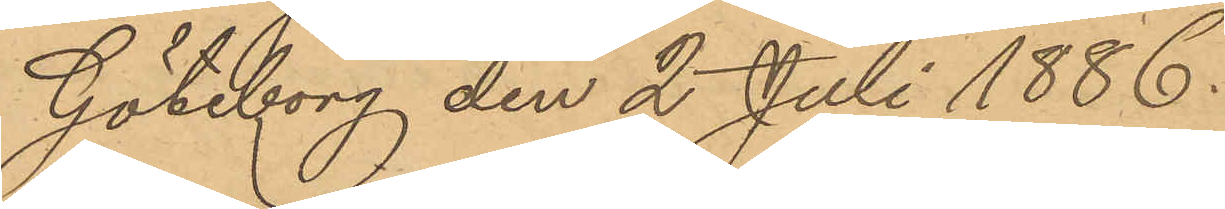Göteborg den 2 Juli 1886.
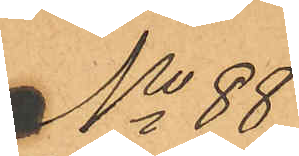No 88
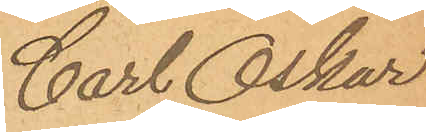Carl Oskar
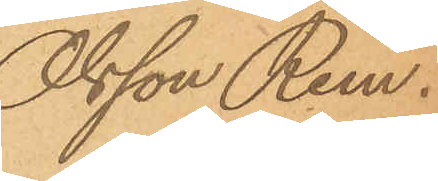Olsson Rem.
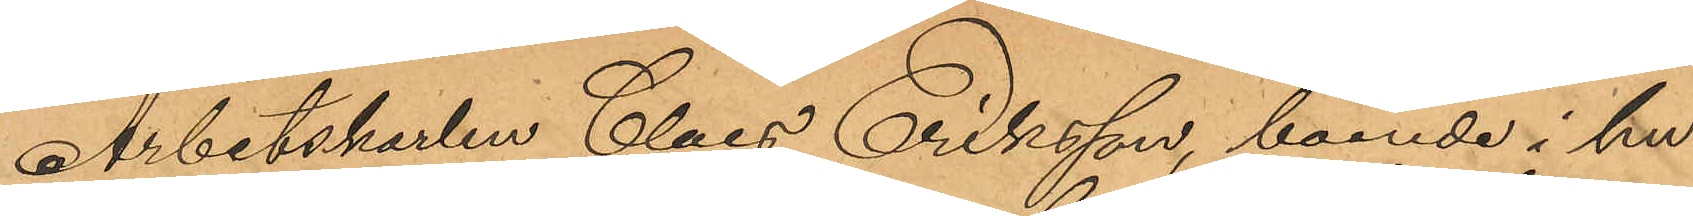Arbetskarlen Claes Eriksson, boende i hu¬
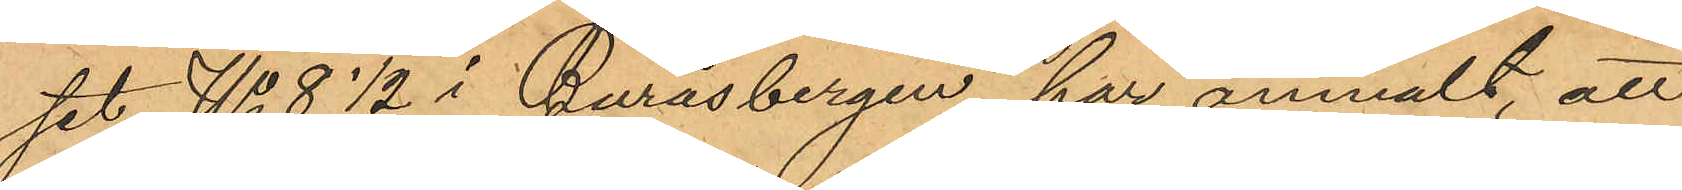set No 8  ½ i Buråsbergen, har anmält, att
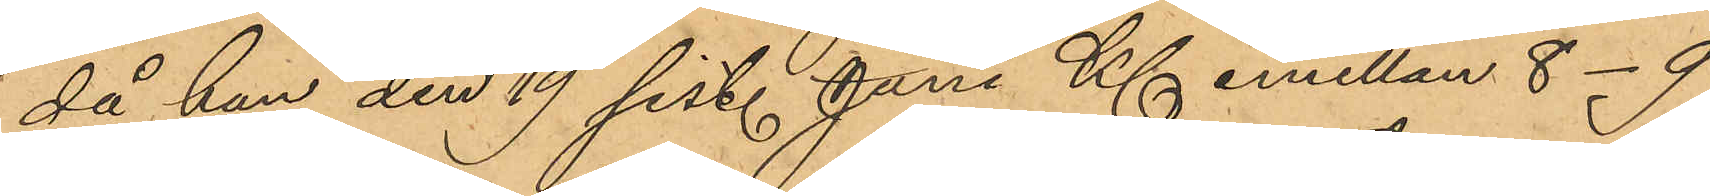då han den 19 sist. Juni Kl emellan 8-9
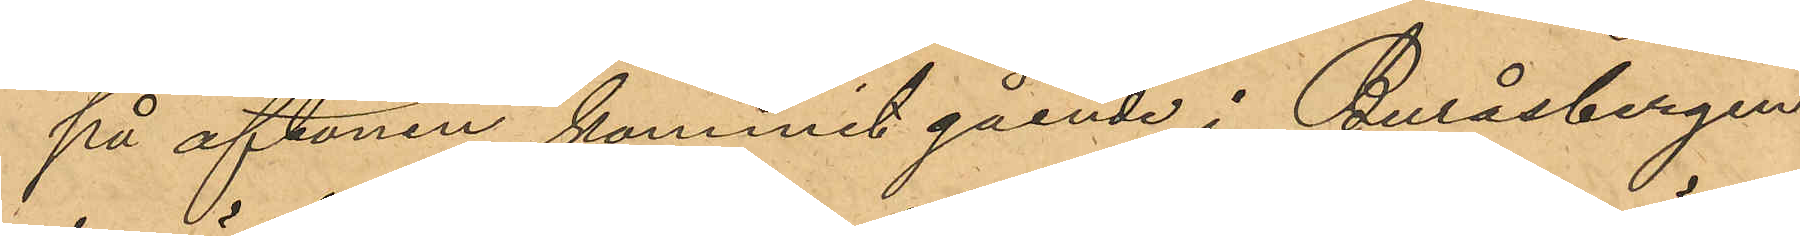på aftonen kommit gående i Buråsbergen
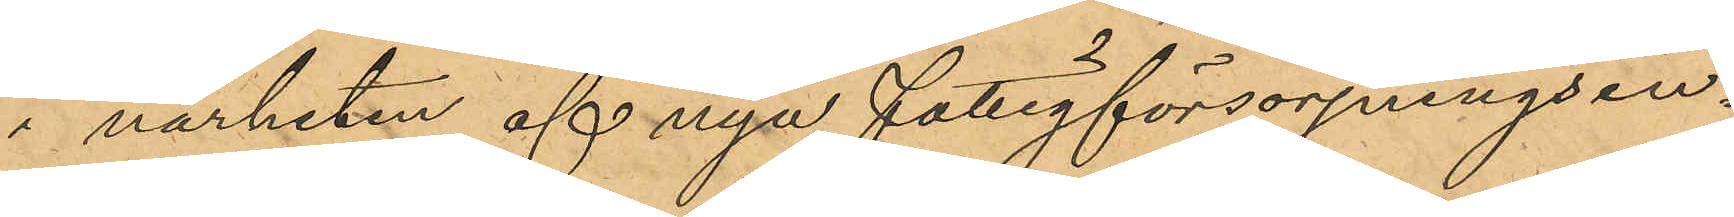i närheten af nya Fattigförsörjningsin¬
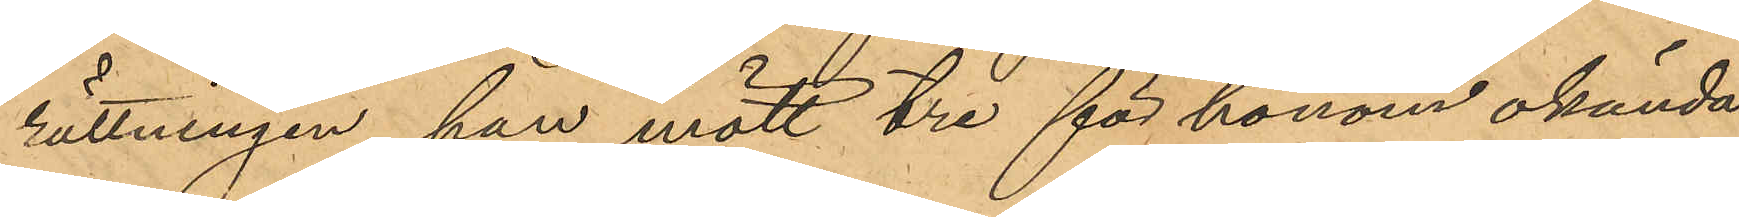rättningen, han mött tre för honom okända
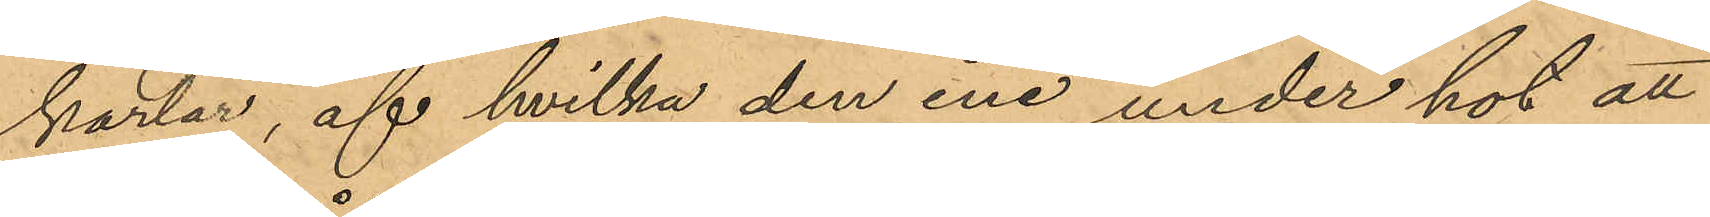karlar, af hvilka den ene under hot att
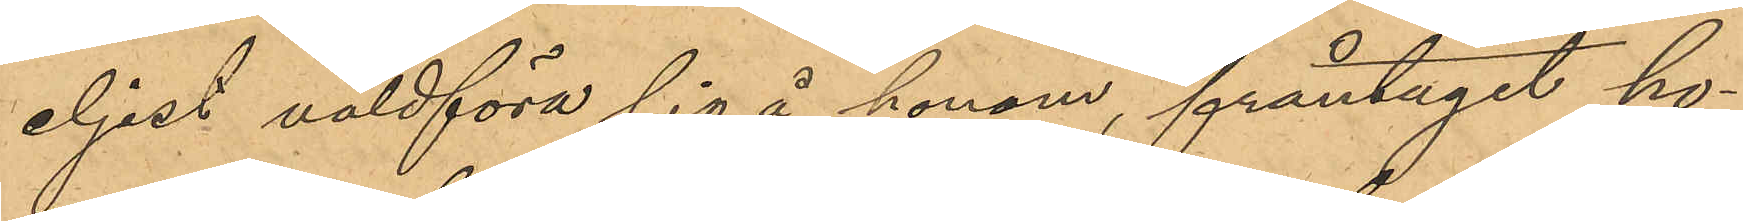eljest våldföra sig å honom, fråntagit ho¬
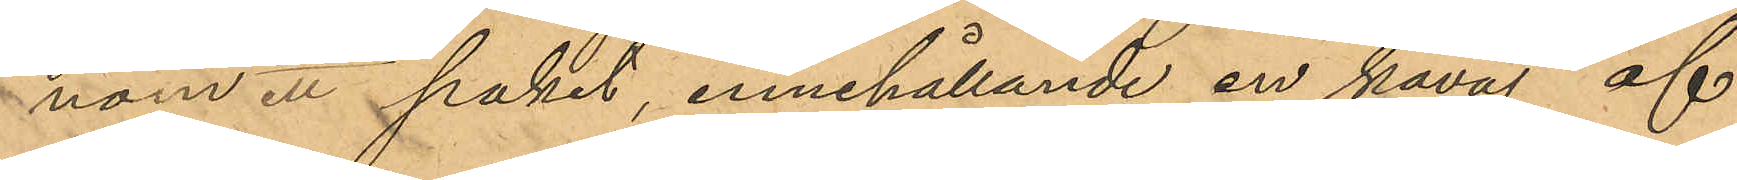nom ett paket, innehållande en kavaj af
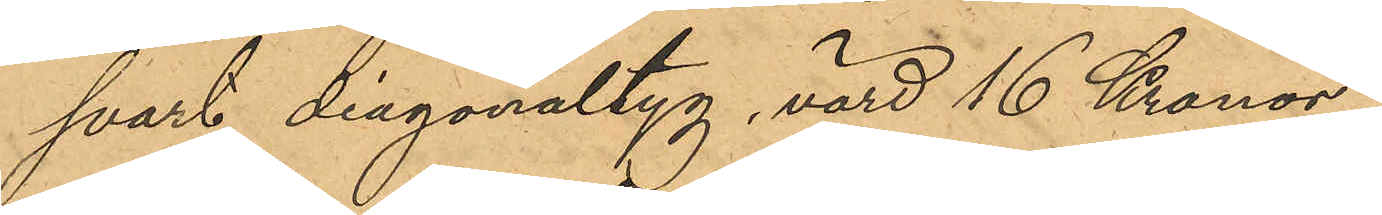svart diagonaltyg, värd 16 Kronor,
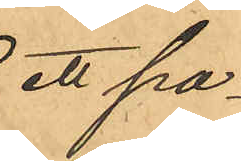ett pa¬
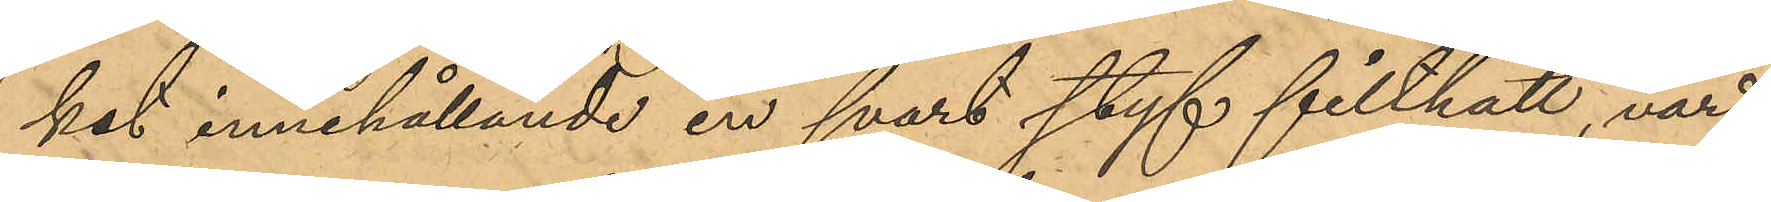ket innehållande en svart styf filthatt, värd
